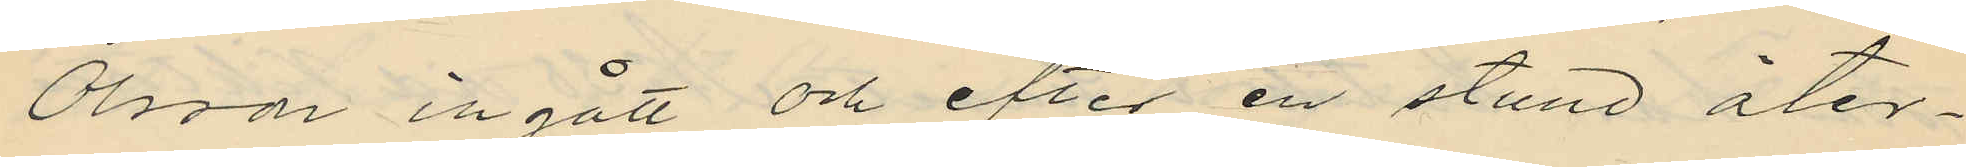Olsso ingått och efter en stund åter¬
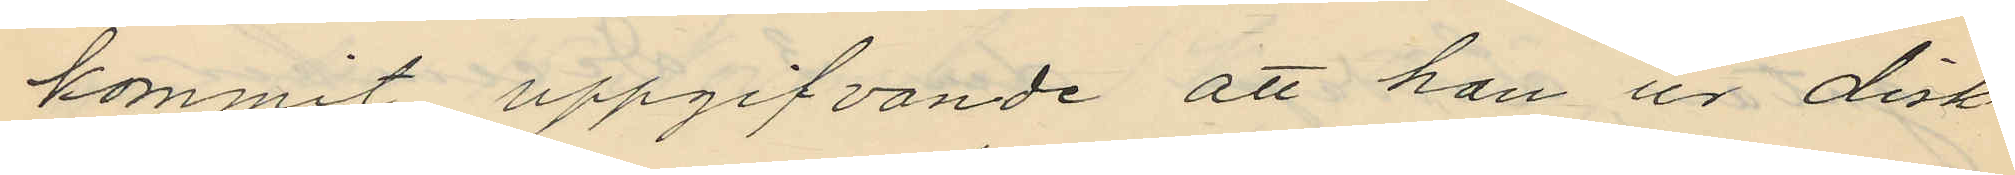kommit uppgifvande att han ur disk¬
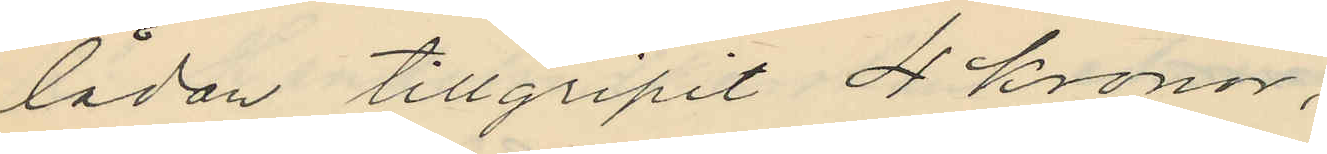lådan tillgripit 4 Kronor;
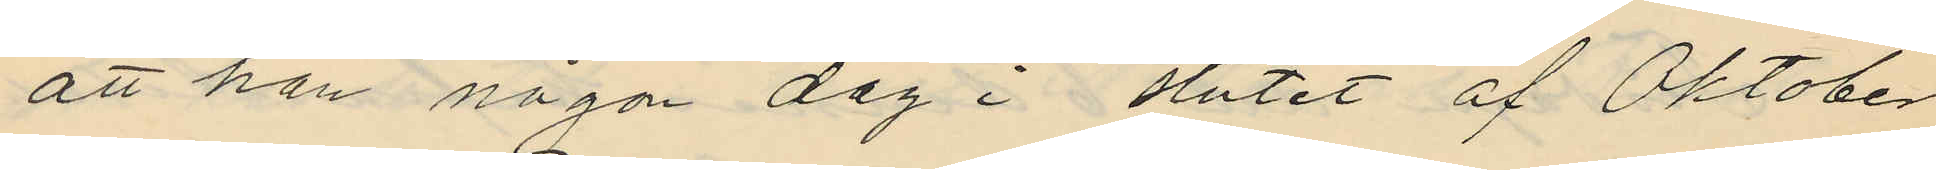att han någon dag i slutet af Oktober
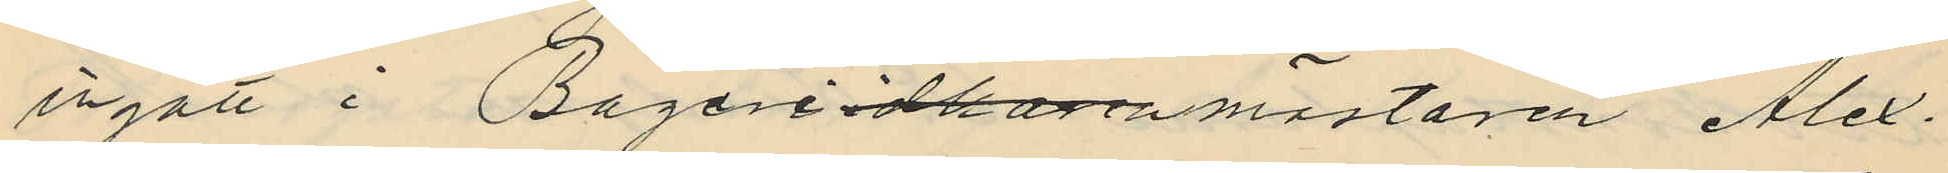ingått i Bageriidkarenmästaren Alex
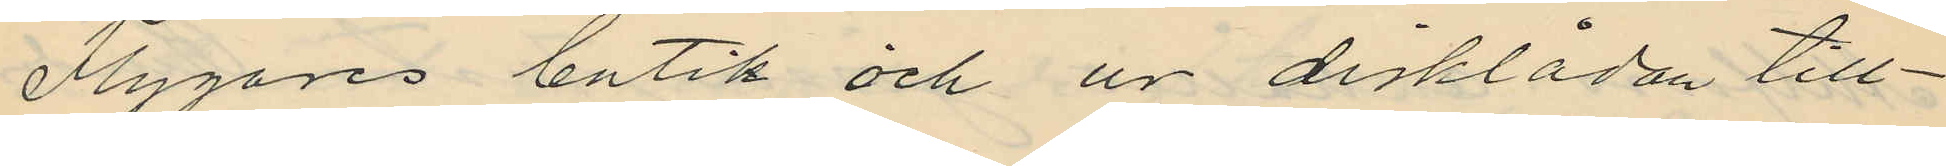Flygares butik och ur disklådan till¬
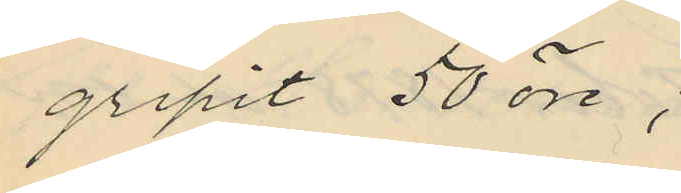gripit 50 öre;
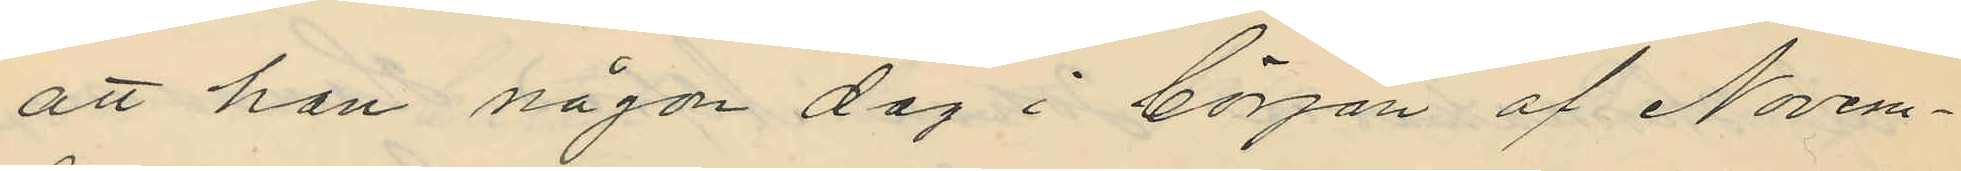att han någon dag i början af Novem¬
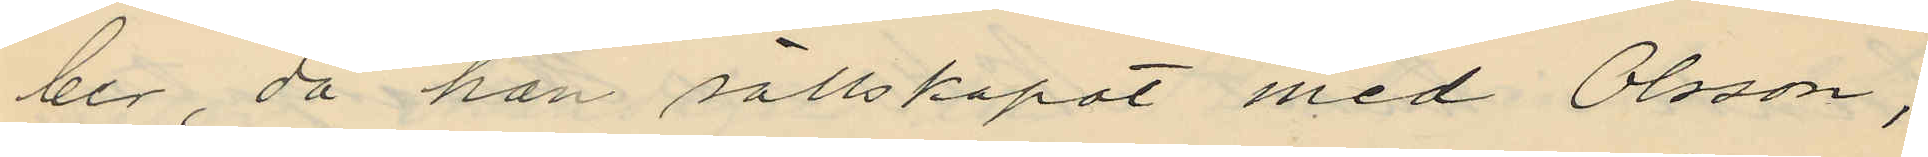ber, då han sällskapat med Olsson,
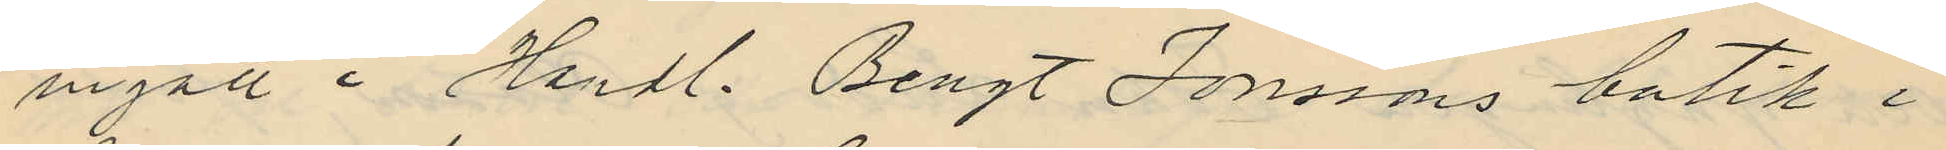ingått i Handl. Bengt Jonssons butik i
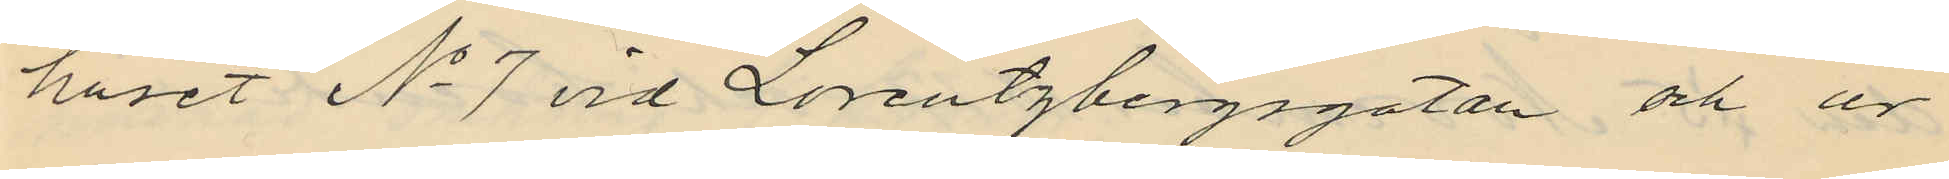huset No 7 vid Lorentzbergsgatan och ur
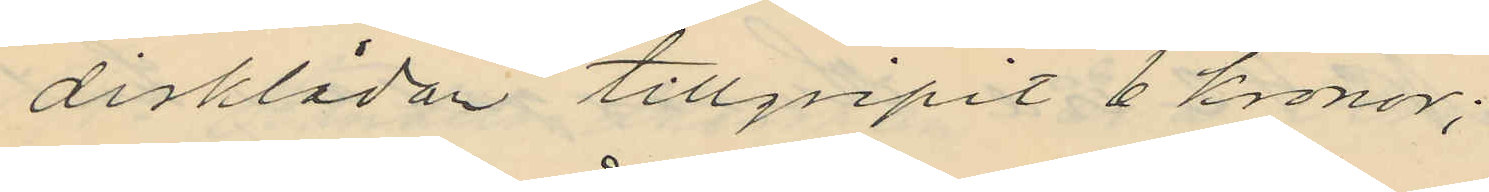disklådan tillgripit 6 Kronor;
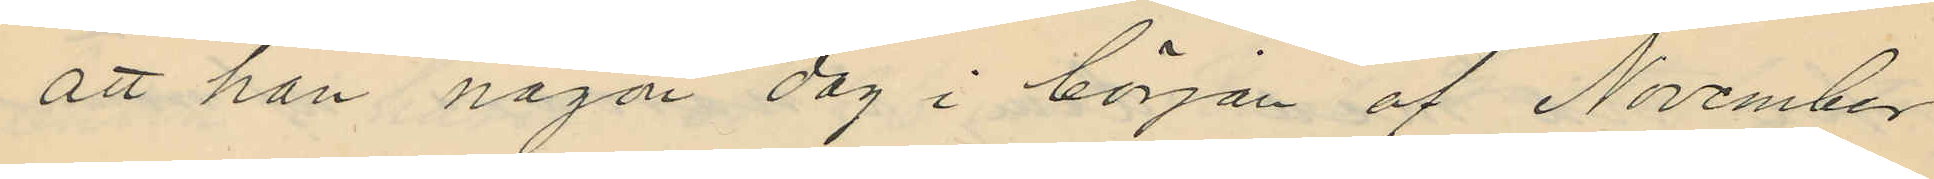att han någon dag i början af November
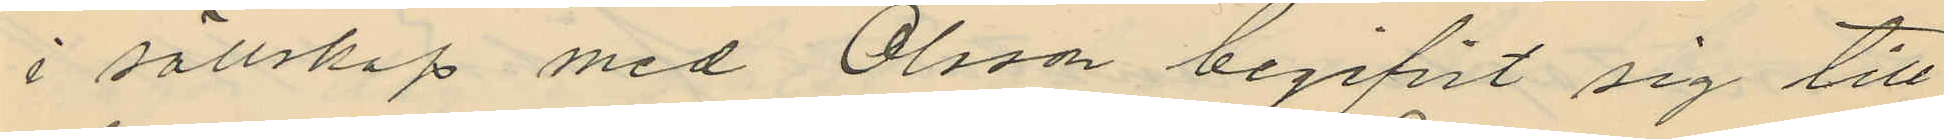i sällskap med Olsson begifvit sig till
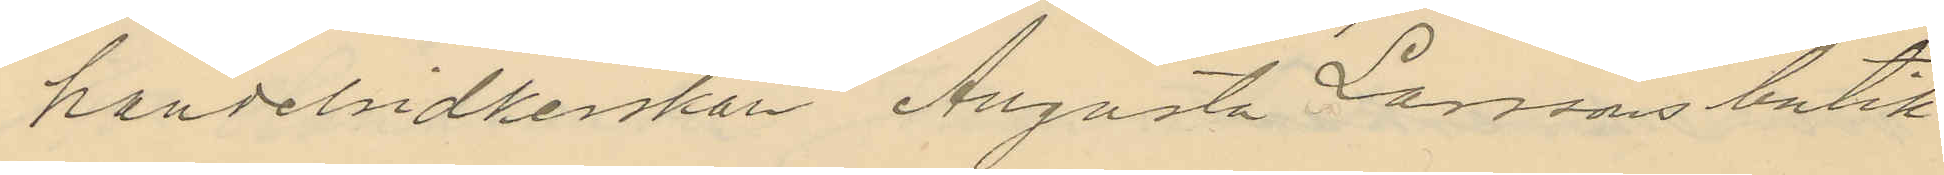handelsidkerskan Augusta Larssons butik
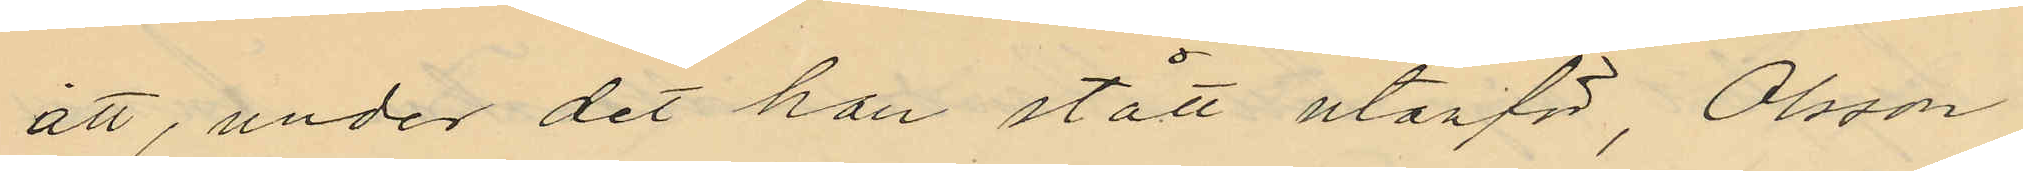att, under det han stått utanför, Olsson
